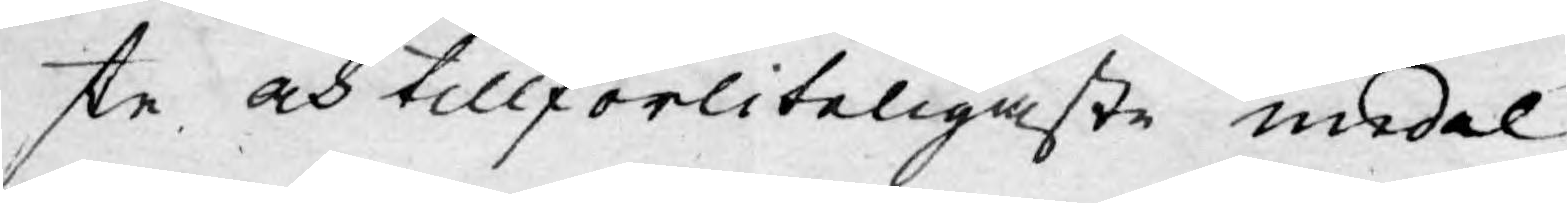ste och tillförliteligaste medel.
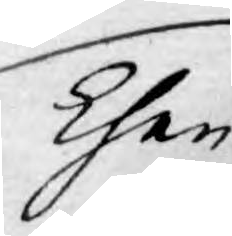Then
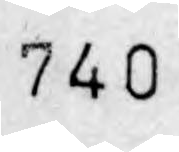740
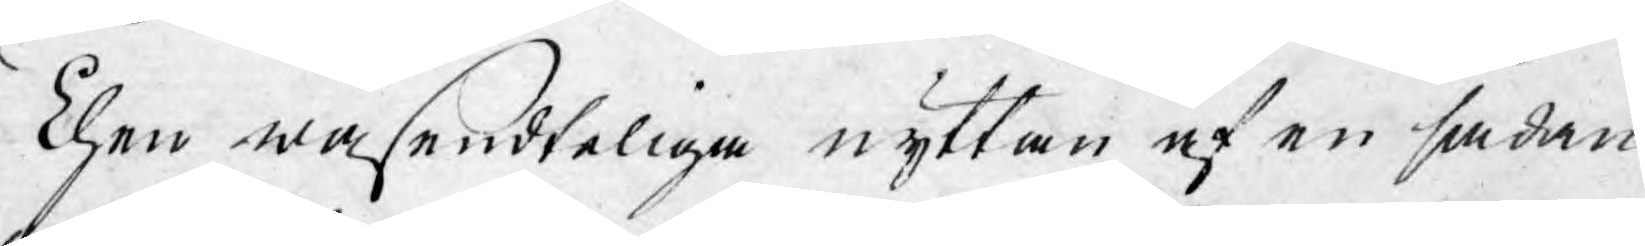Then wäsendteliga nyttan af en sådan
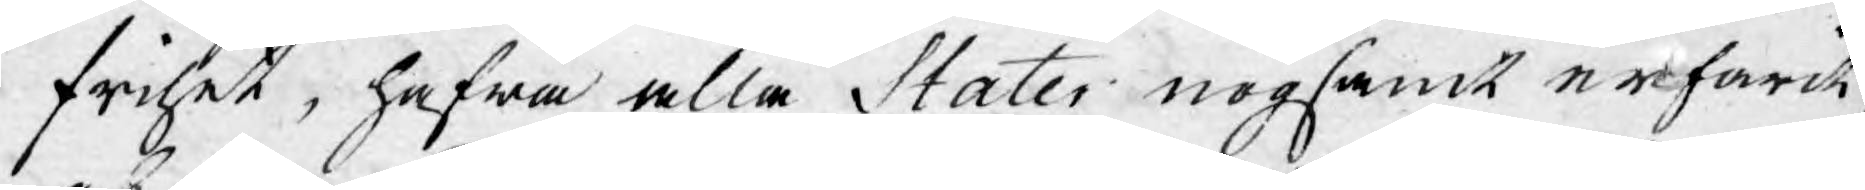frihet, hafwa alla Stater nogsamt erfarit,
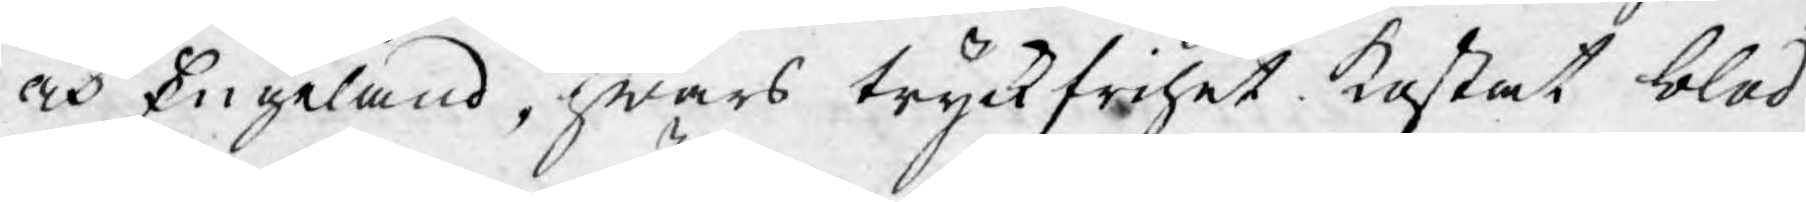och Engeland, hwars tryckfrihet kostat blod
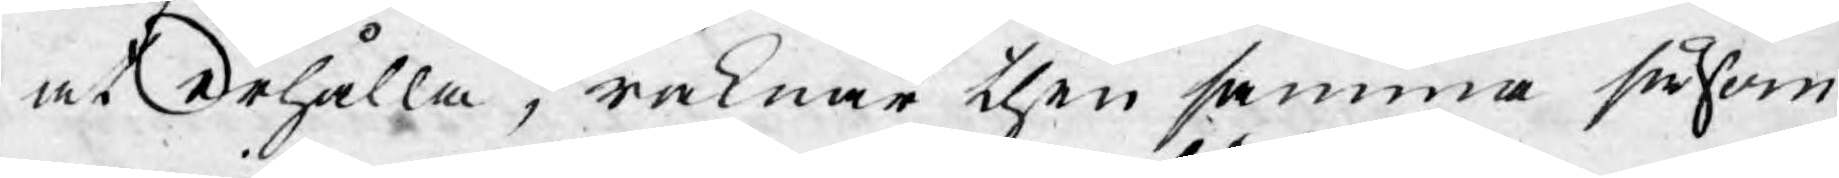at erhålla, räknar then samma såsom
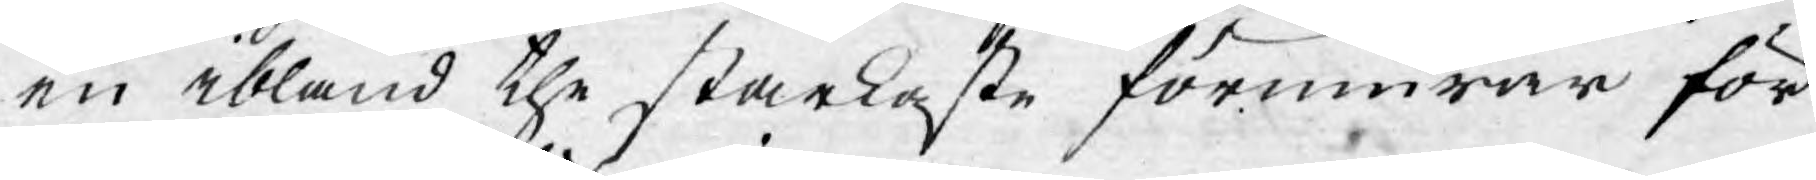en ibland the starkaste förmurar för
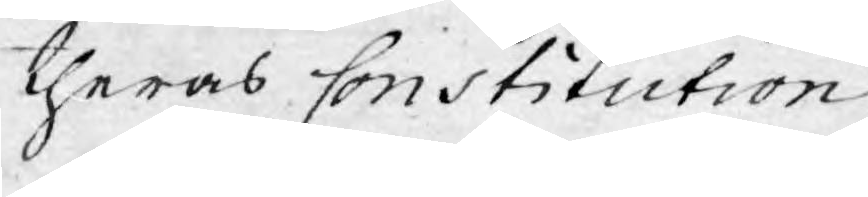theras Constitution.
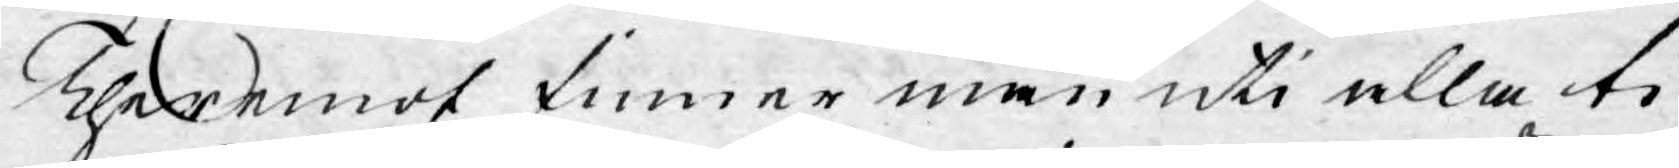Theremot finner man uti alla ti¬
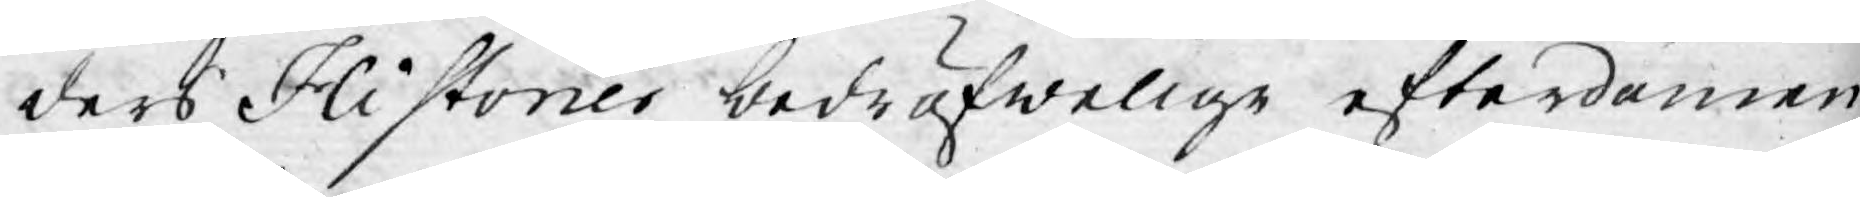ders Historier bedröfwelige efterdömen,
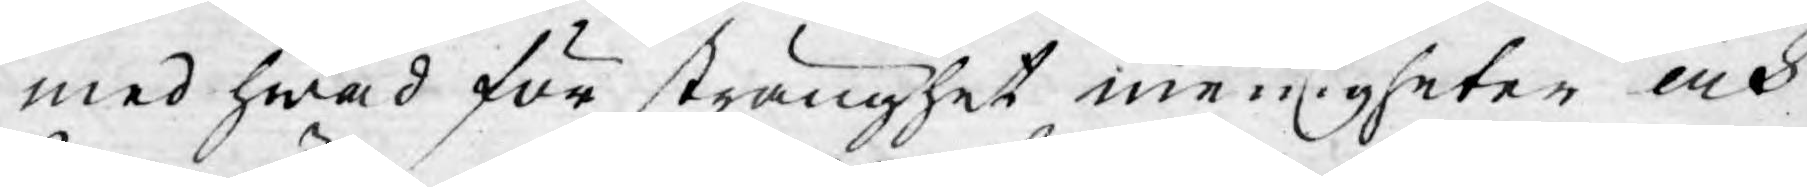med hwad för stränghet menigheter och
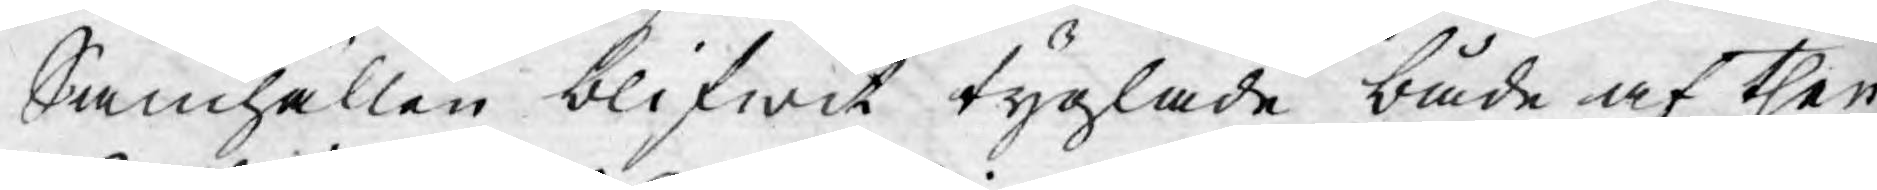Samhällen blifwit tyglade både af then
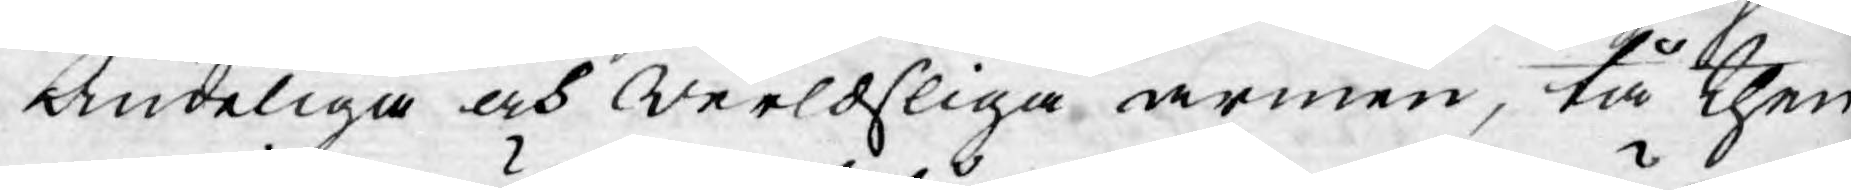Andeliga och werldsliga armen, tå then
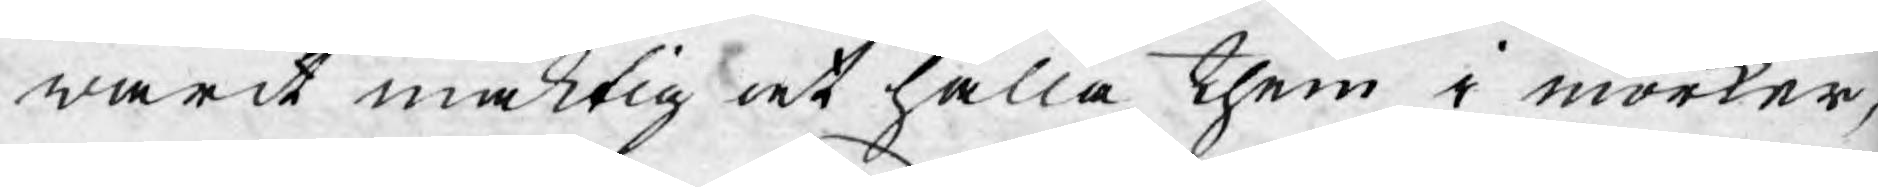warit mäktig at hålla them i mörker,
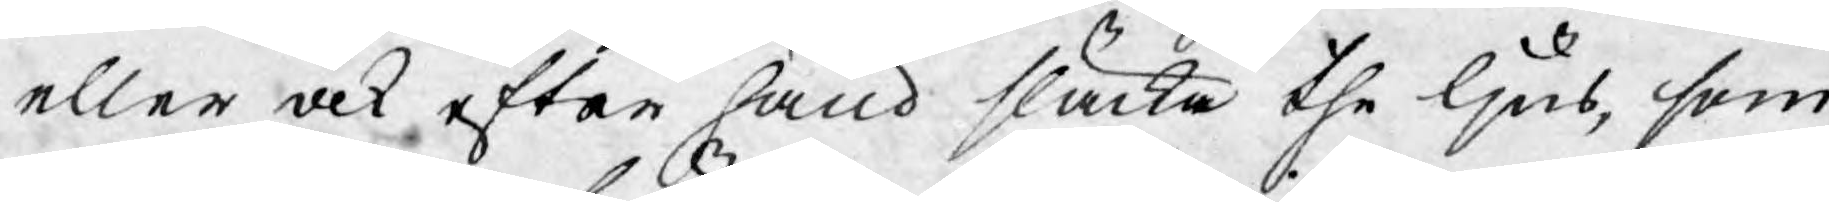eller ock efter hand släcka the ljus, som
